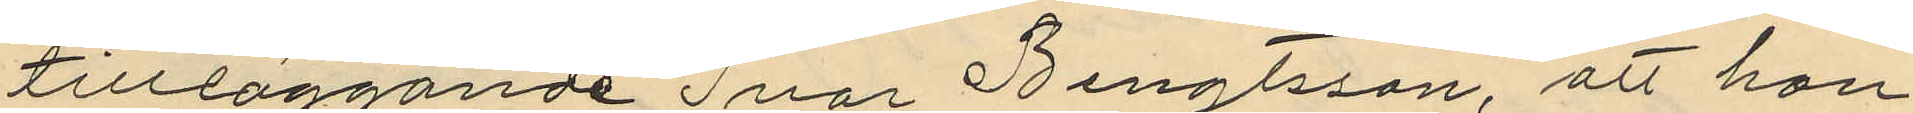tillläggande Ivar Bengtsson, att han
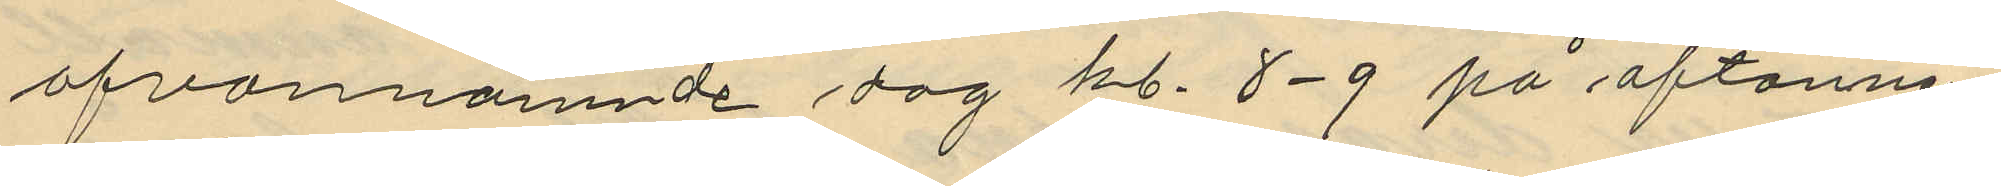ofvannämnde dag kl. 8-9 på aftonnen
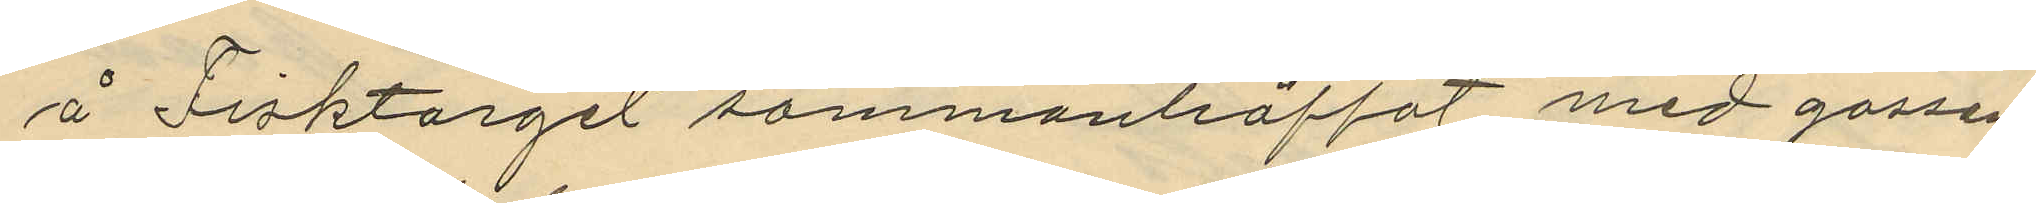å Fisktorget sammanträffat med gossen
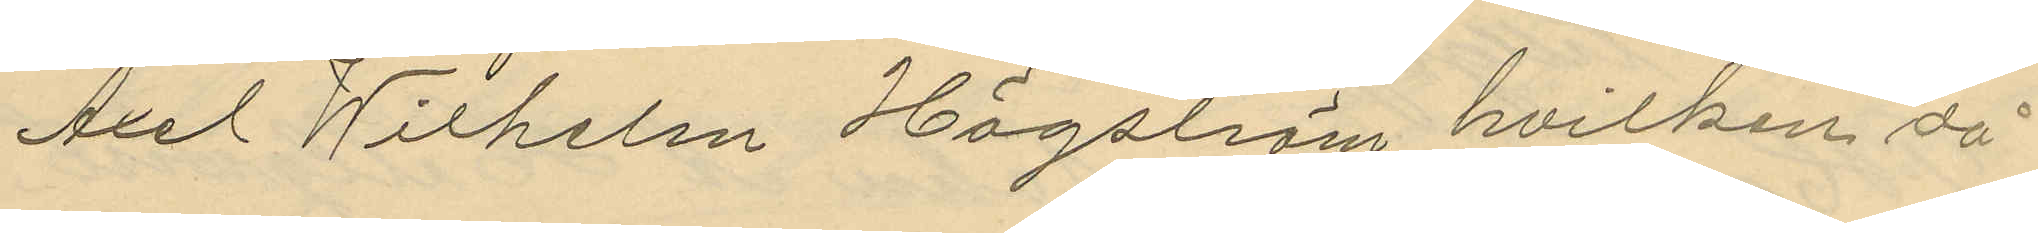Axel Wilhelm Högström hvilken då
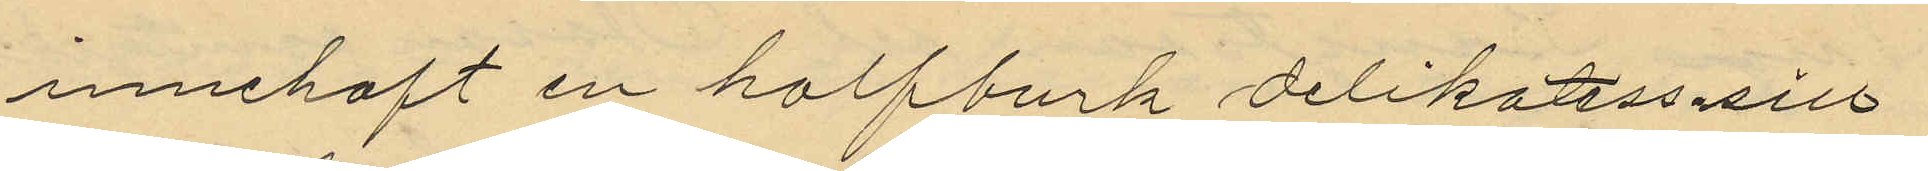innehaft en halfburk delikatess-sill
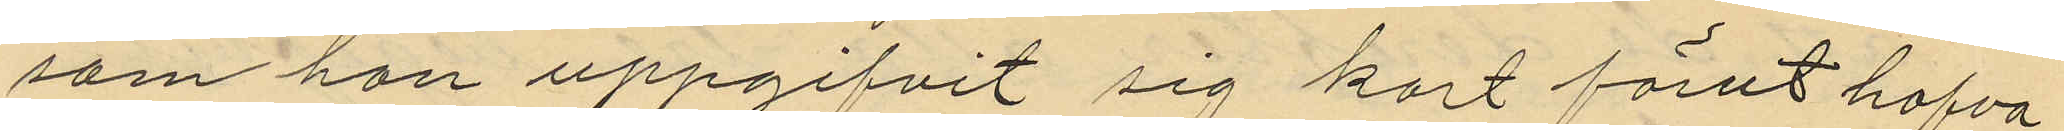som han uppgifvit sig kort förut hafva
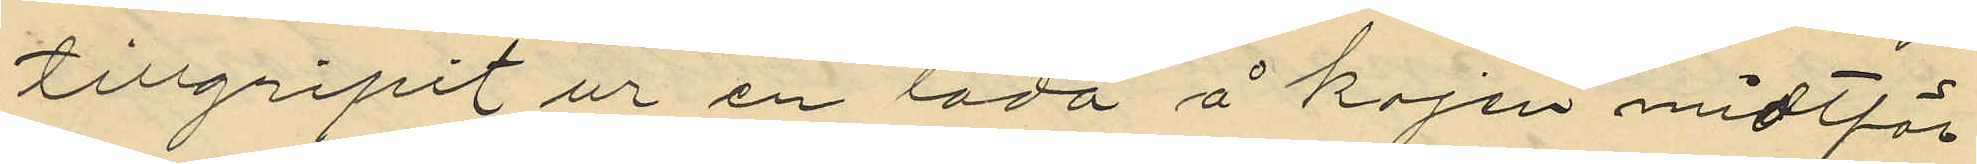tillgripit ur en låda å kajen midtför
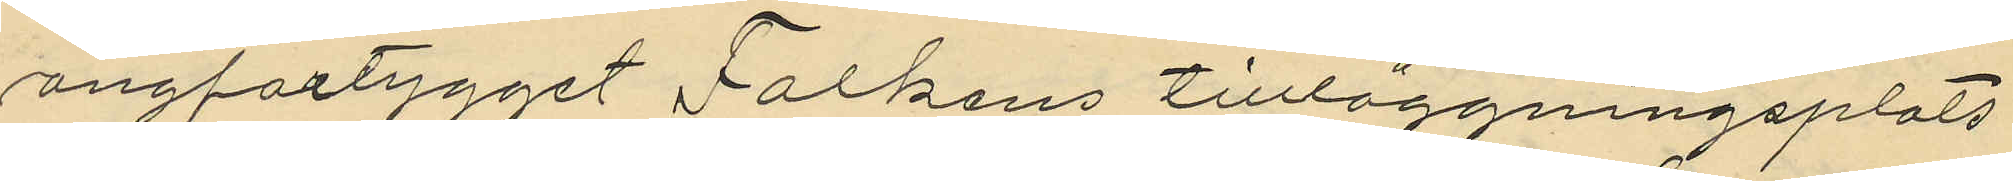ångfartygget Falkens tillläggningsplats
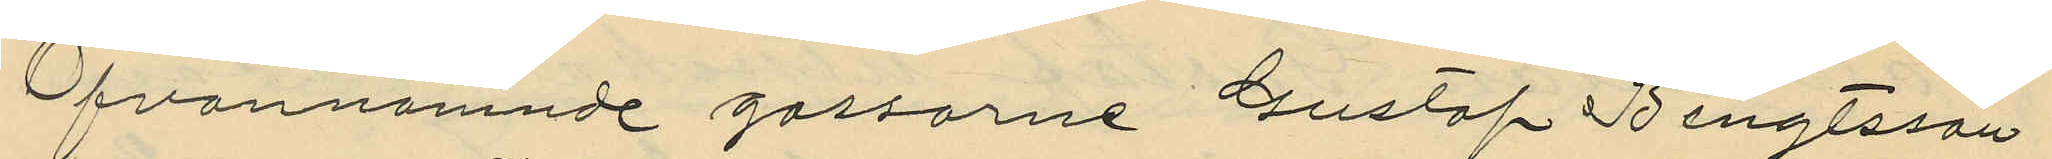Ofvannämnde gossarne Gustaf Bengtsson
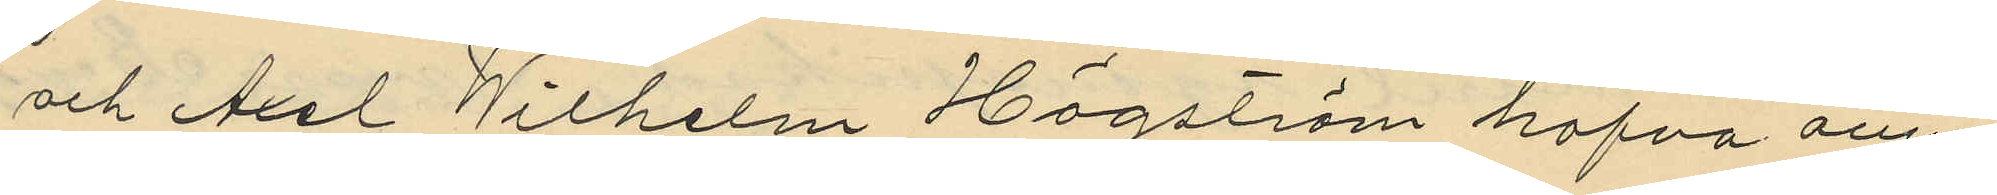och Axel Wilhelm Högström hafva ännu
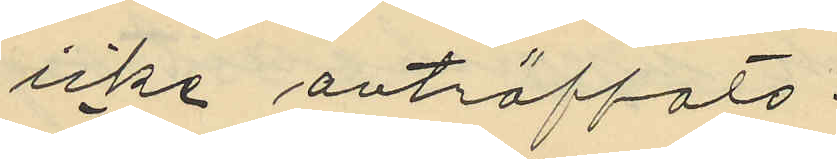icke anträffats.
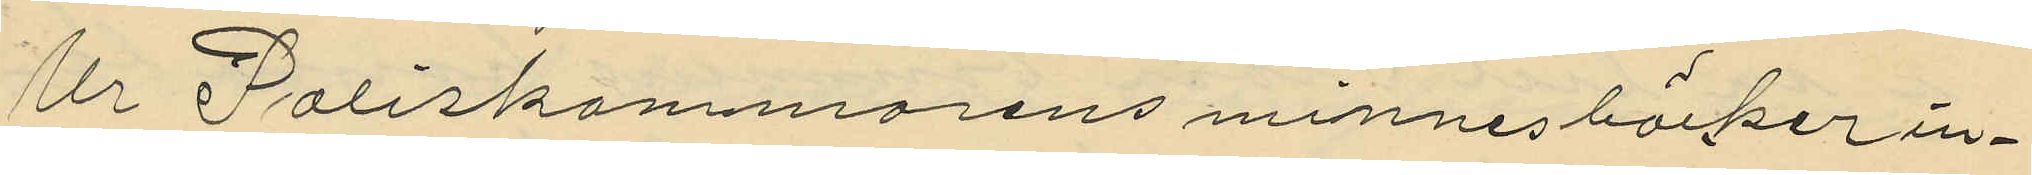Ur Poliskamarens minnesböcker in¬
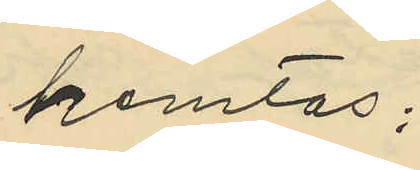hemtas;
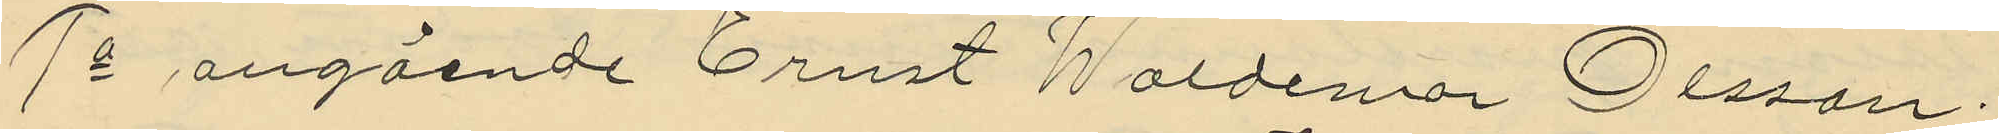1o angående Ernst Waldemor Olsson:
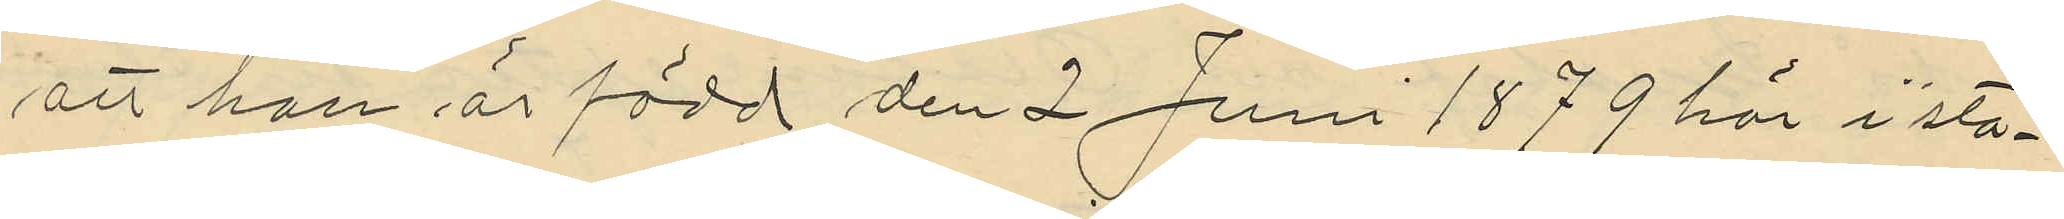att han är född den 2 Juni 1879 här i sta¬
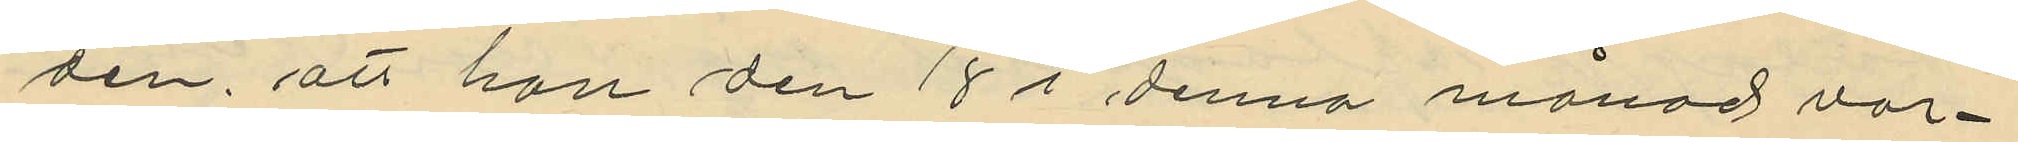den, att han den 18 i denna månad var¬
